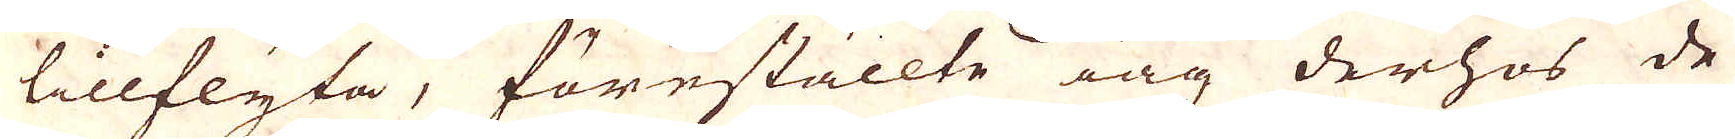tillflyta, föreställte iag derhos de
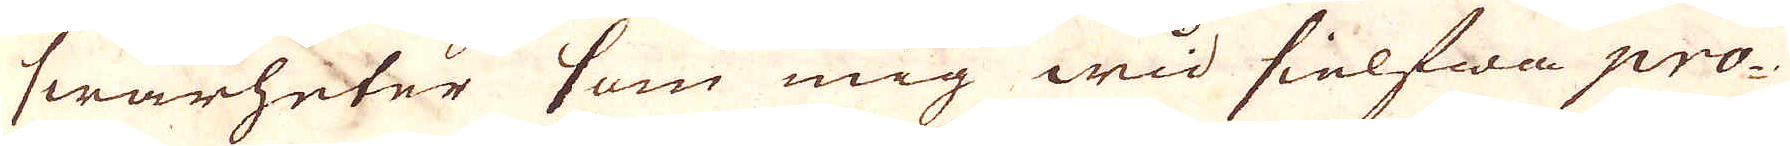swårheter som mig wid sielfwa pro-
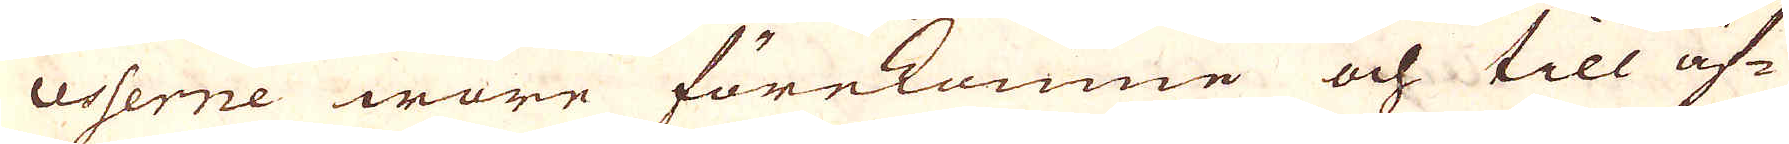cesserne wore förekomne och till äf-
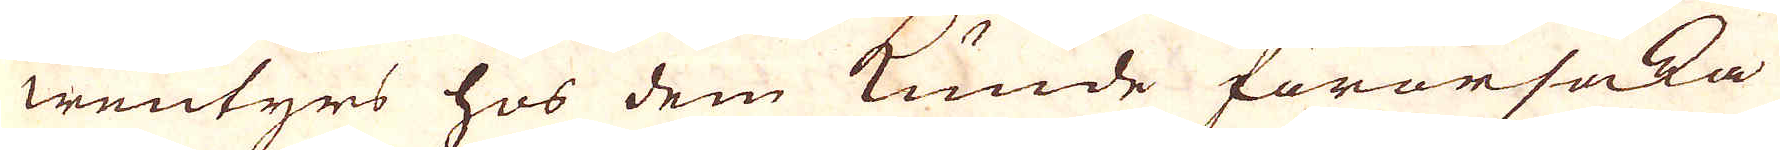wentyrs hos dem kunde förorsaka
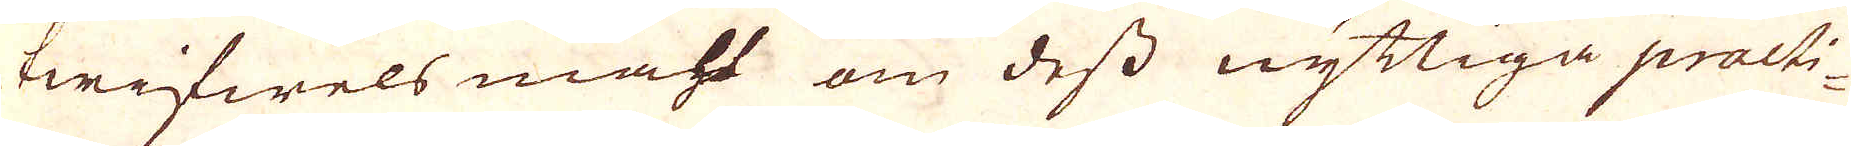twifwels måhl om dess nyttiga practi-
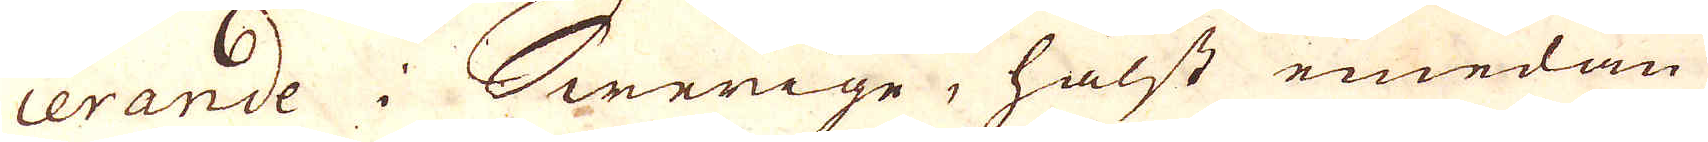cerande i Swerige, hälst emedan
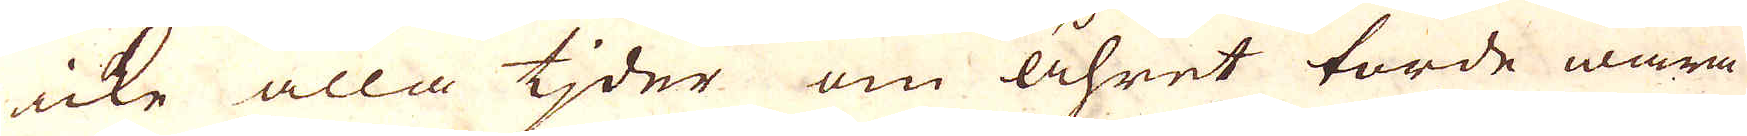icke alla tjder om åhret torde wara
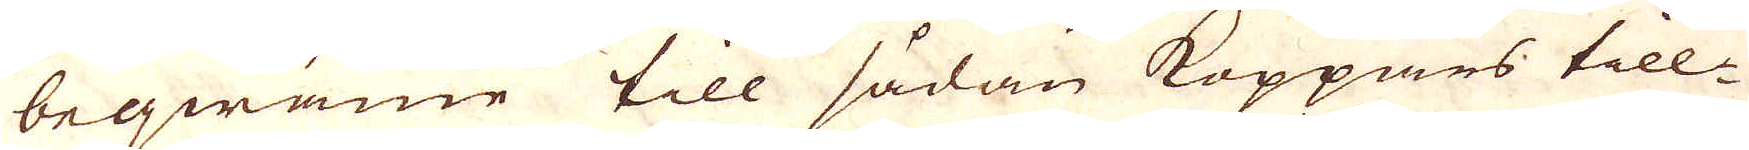beqwäme till sådan Koppars till-
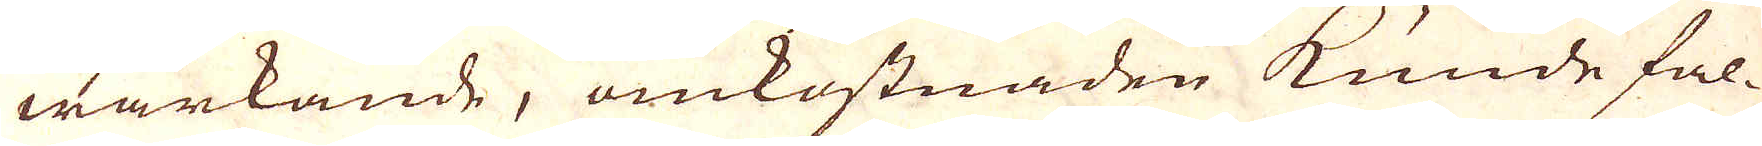wärkande, omkostnaden kunde fal-
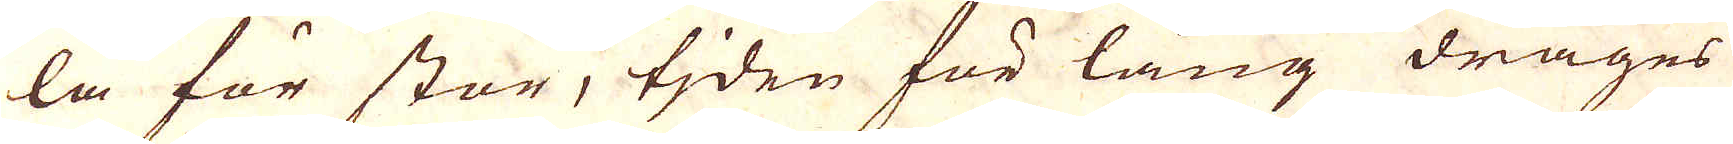la för stor, tjden för lång drages
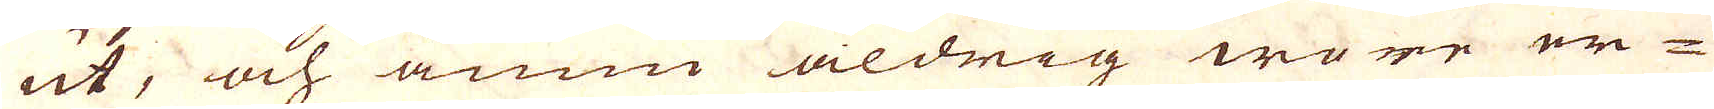ut, och ännu aldrig wore er-
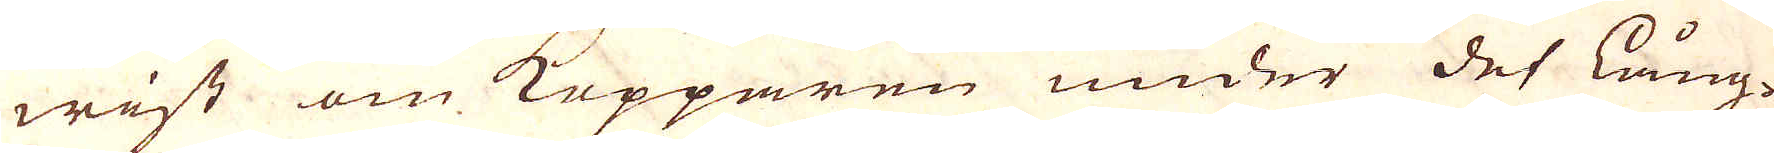wist om Kopparen under det lång-
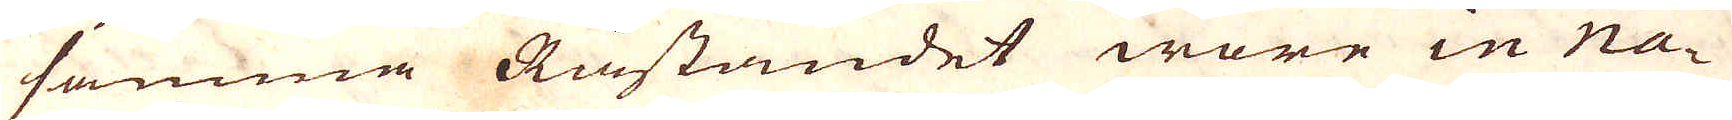samma Råstandet wore in na-
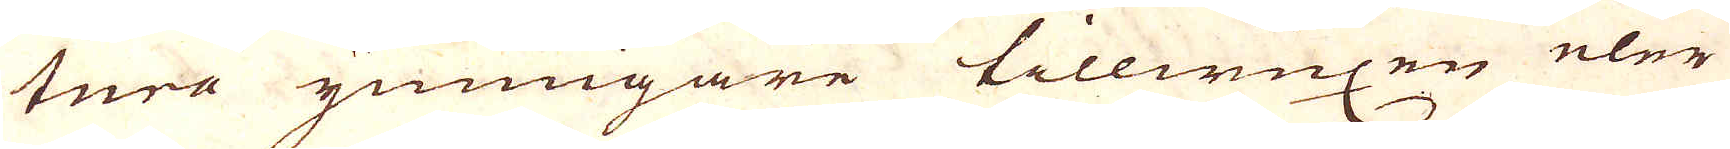tura ymnigare tillwuxen eler
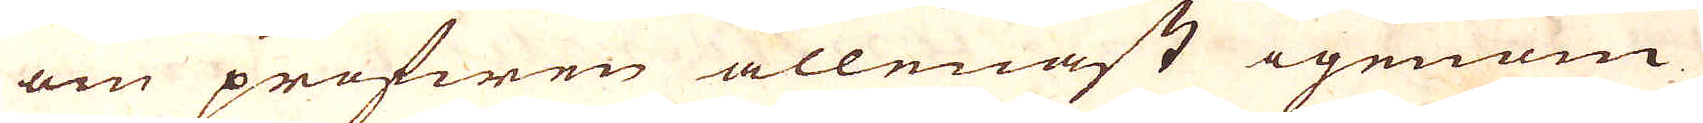om profwen allenast igenom
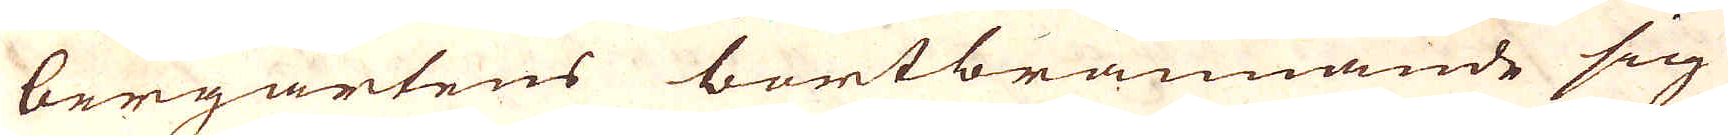bergartens bortbrännande sig
